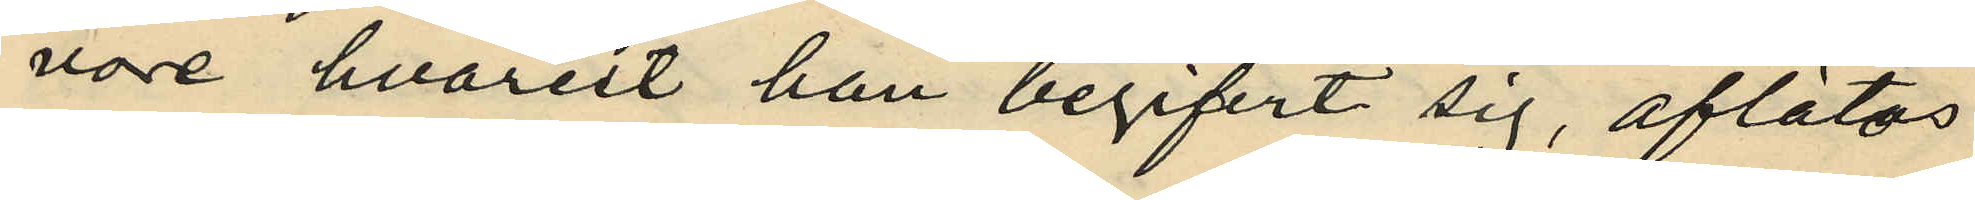vore hvarest han begifvit sig, aflätos
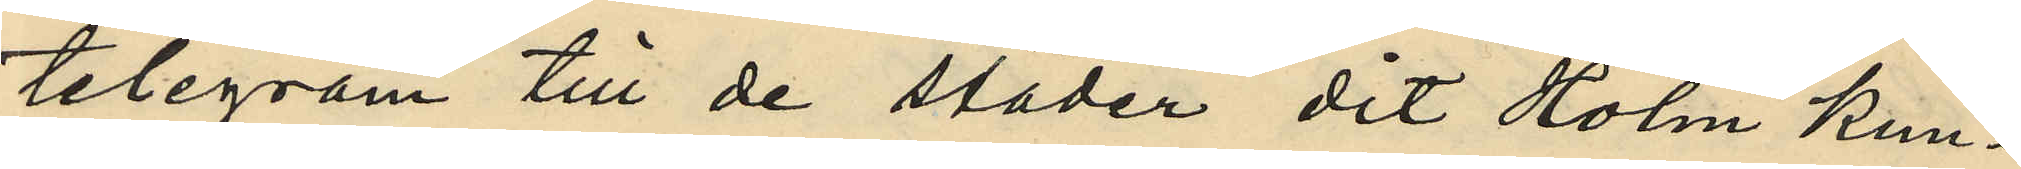telegram till de städer dit Holm kun¬
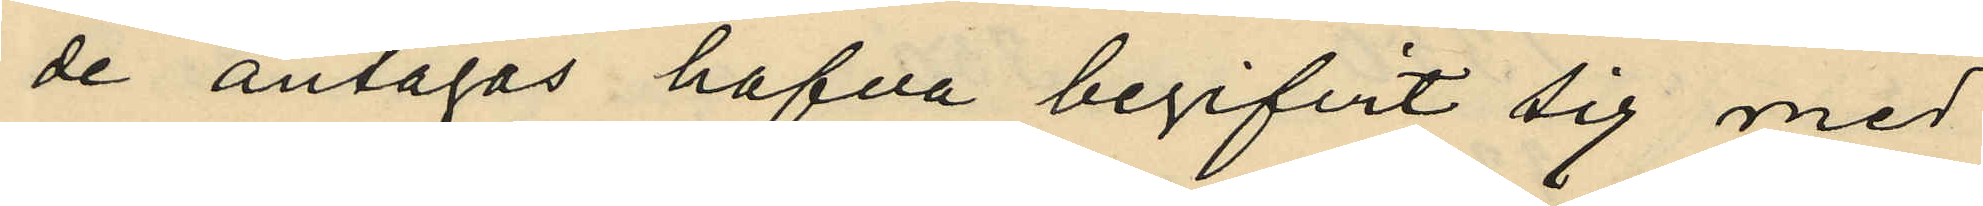de antagas hafva begifvit sig med
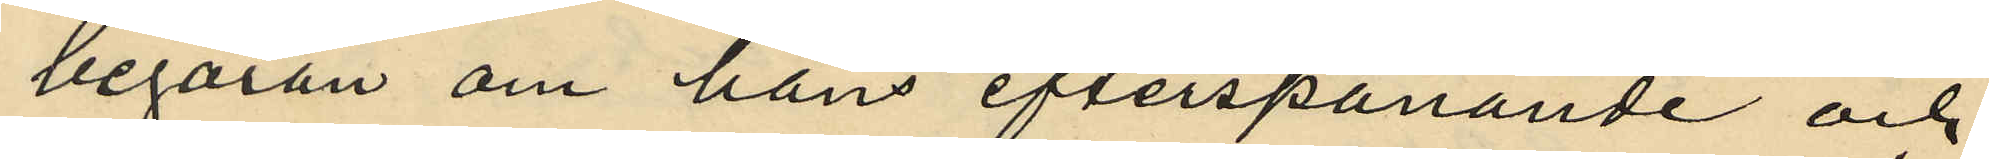begäran om hans efterspanande och
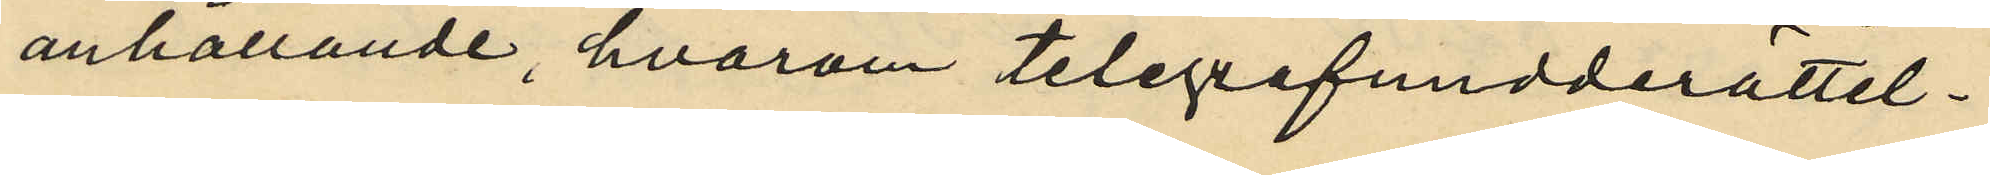anhållande, hvarom telegrafunderättel¬
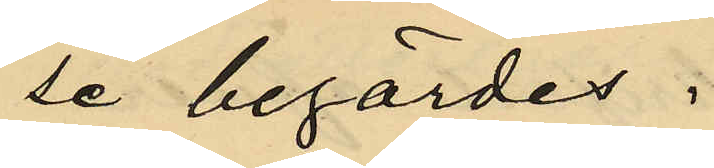se begärdes.
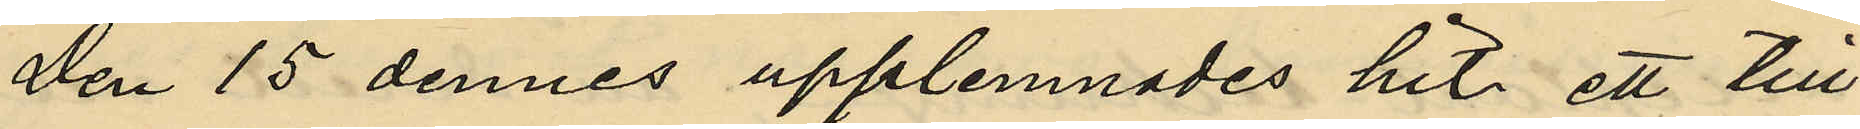Den 15 dennes upplemnades hit ett till
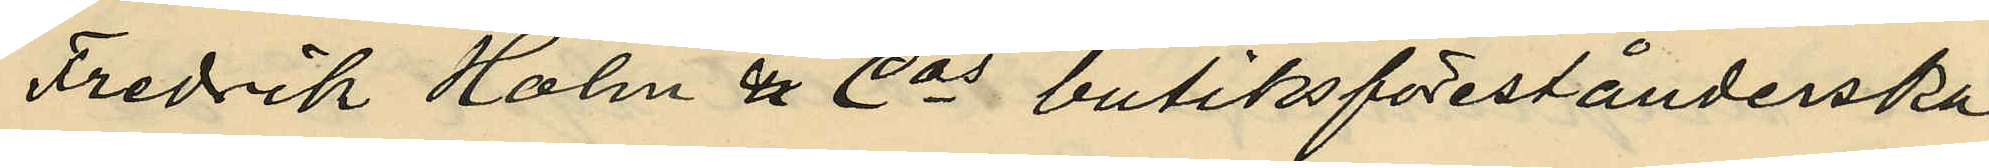Fredrik Holm & Cos butiksförestånderska
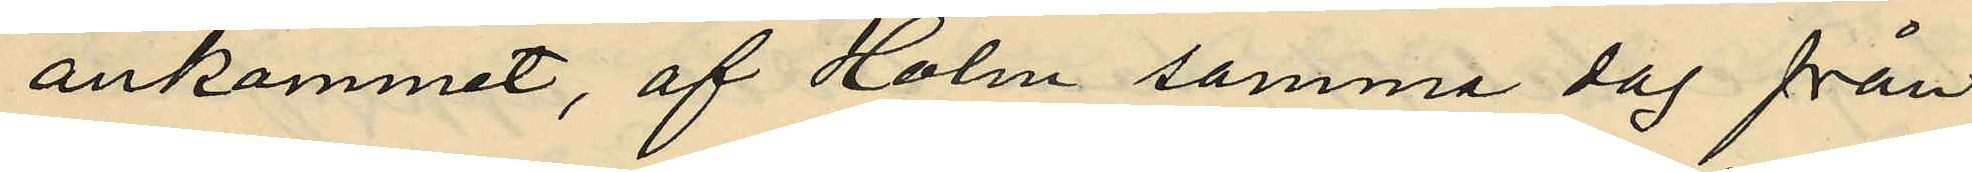ankommit, af Holm samma dag från
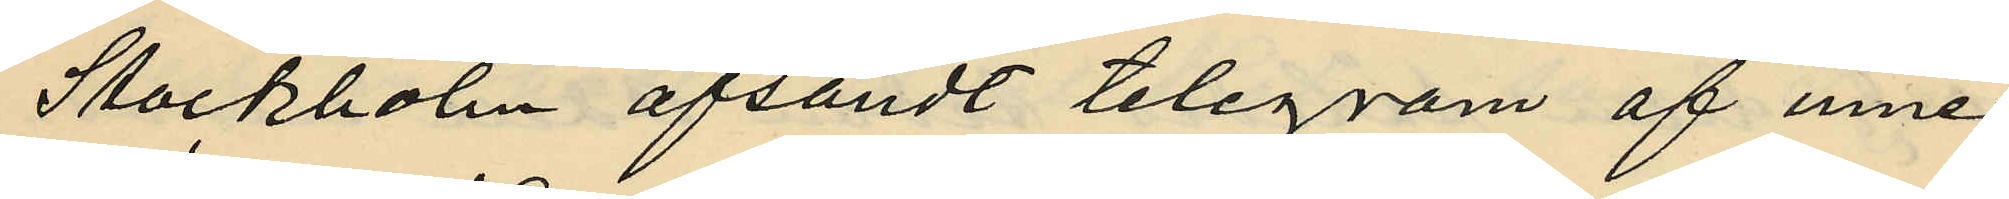Stockholm afsändt telegram af inne¬
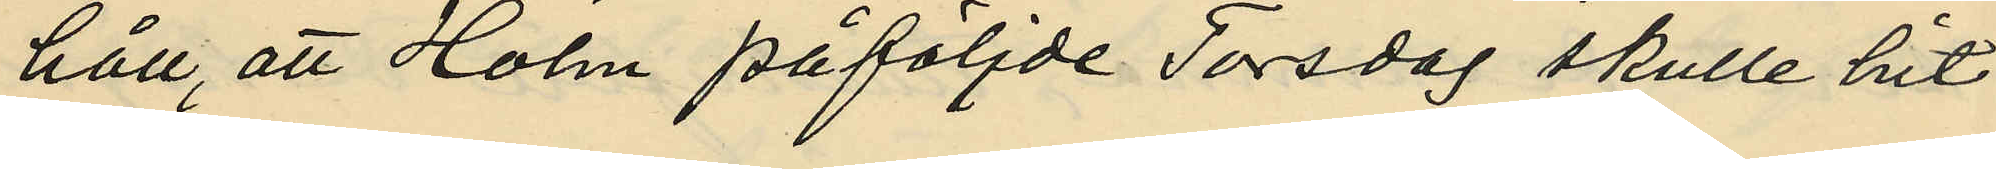håll, att Holm påföljde Torsdag skulle hit
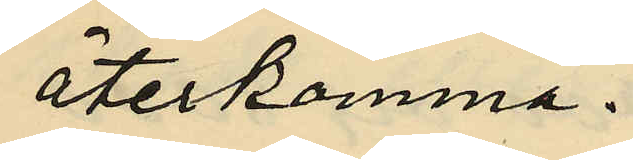återkomma.
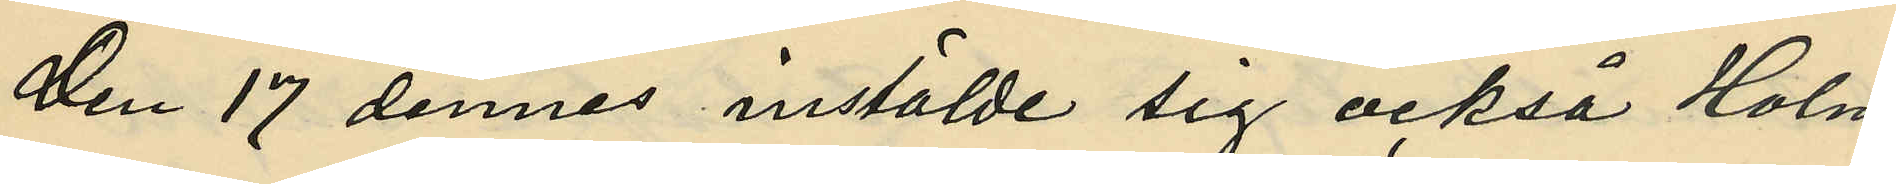Den 17 dennes instälde sig också Holm
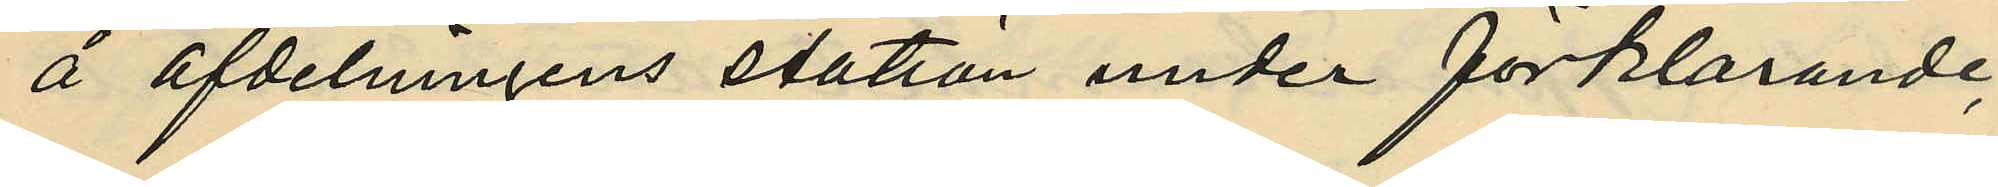å afdelningens station under förklarande,
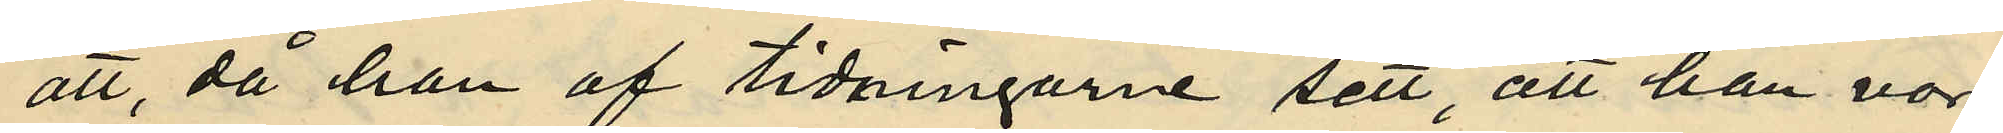att, då han af tidningarne sett, att han vore
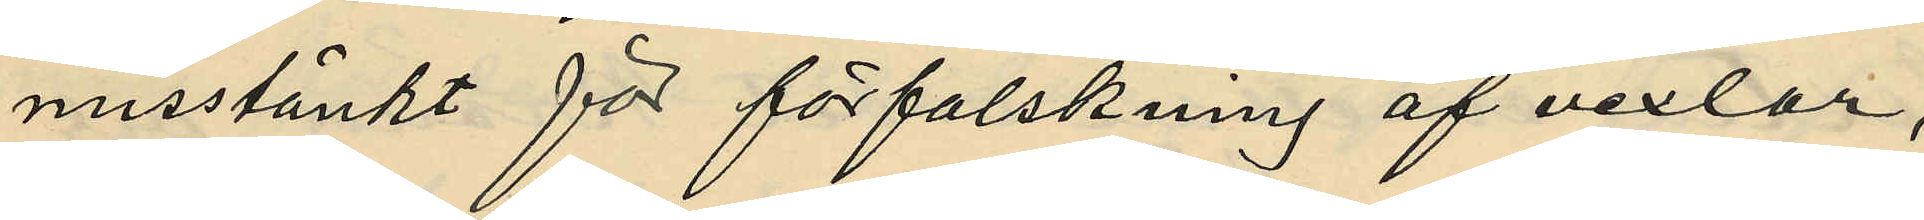misstänkt för förfalskning af vexlar,
